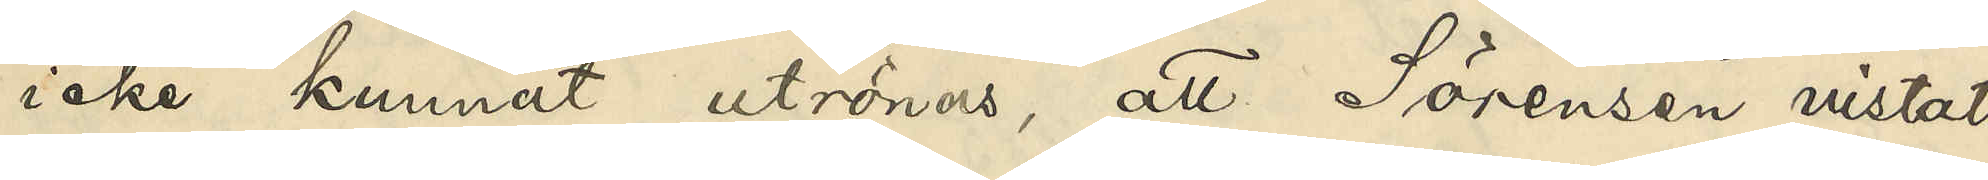icke kunnat utrönas, att Sörensen vistats
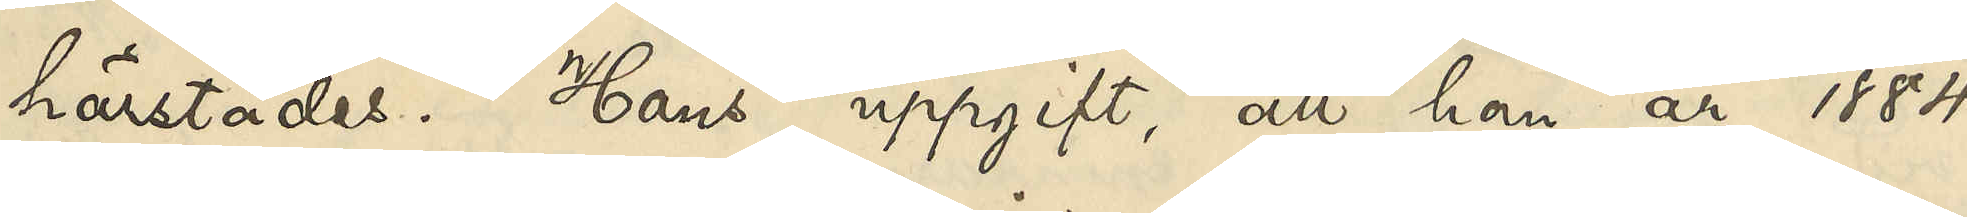härstädes. Hans uppgift, att han år 1884
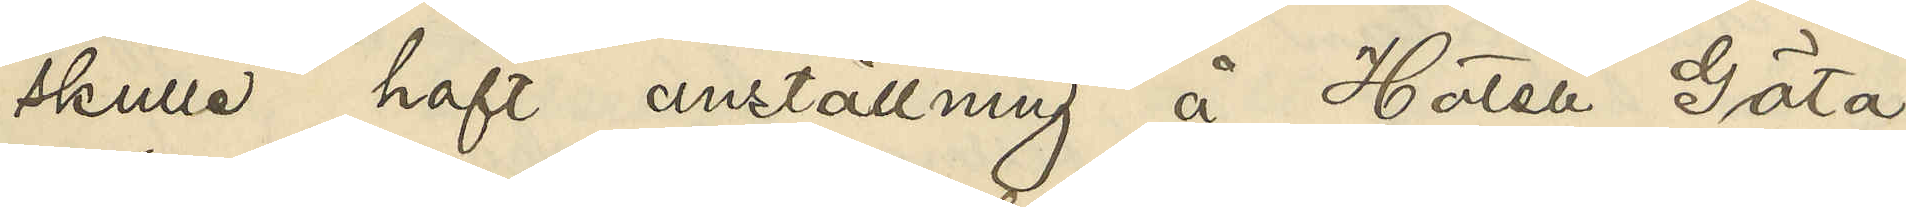skulle haft anställning å Hotell Göta
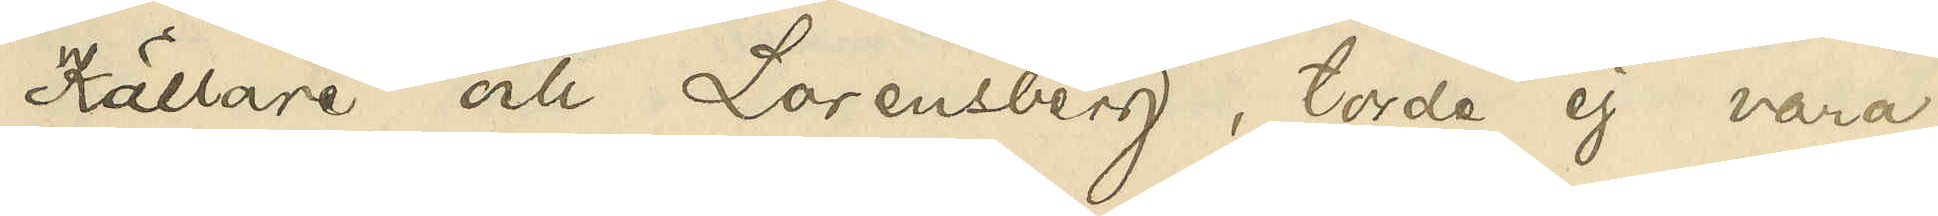Källare och Lorensberg, torde ej vara
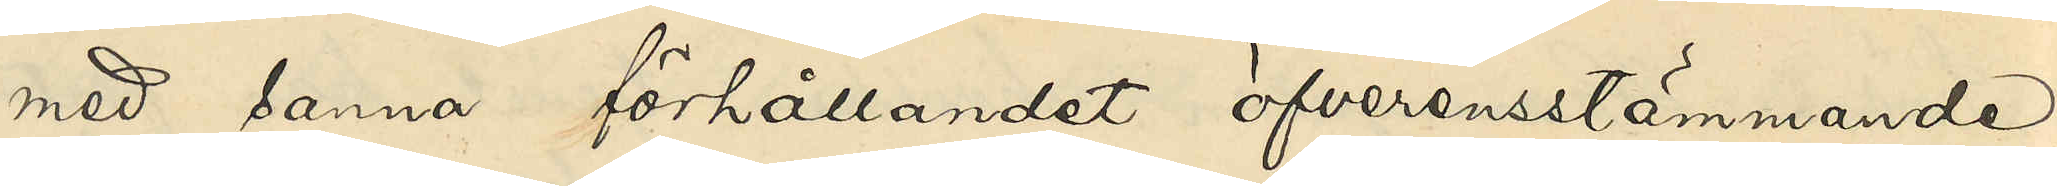med sanna förhållandet öfverensstämmande,
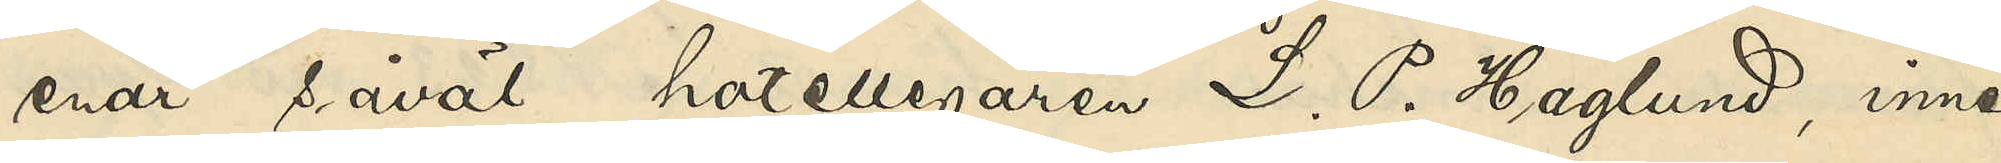enär såväl hotellegaren L. P. Haglund, inne¬
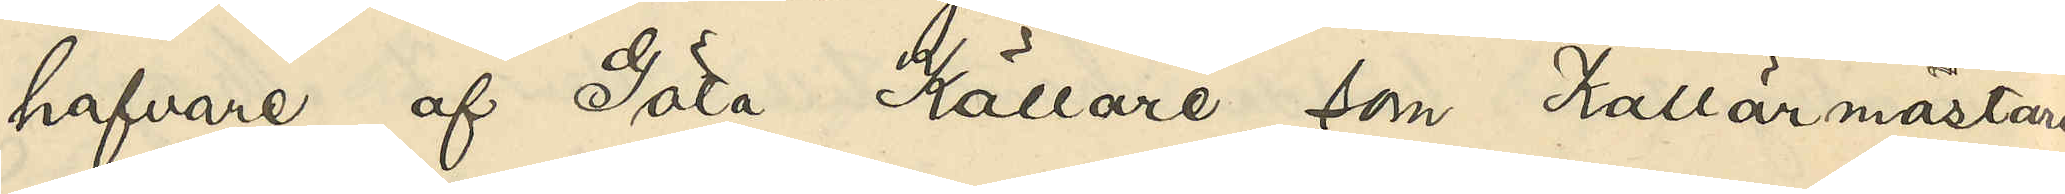hafvare af Göta Källare, som Källarmästaren
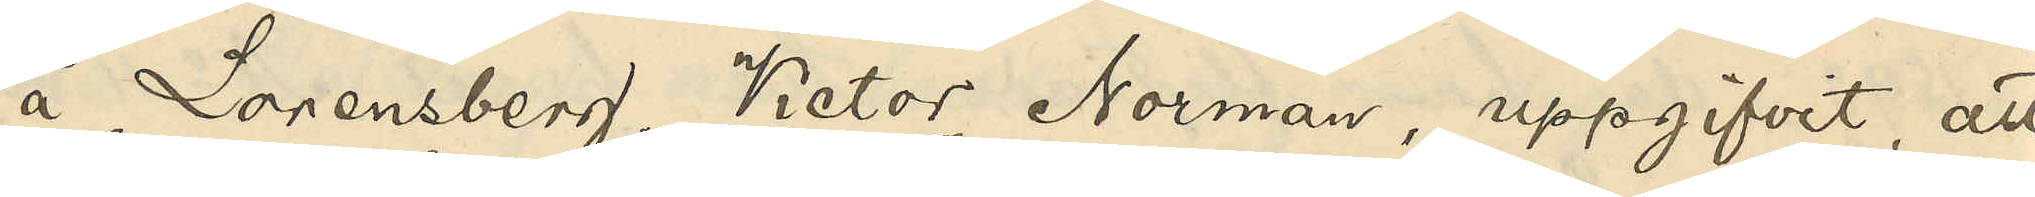å Lorensberg, Victor Norman, uppgifvit, att
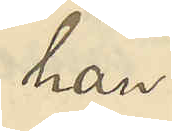han
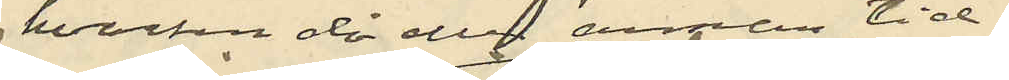hvarken då eller senare tid
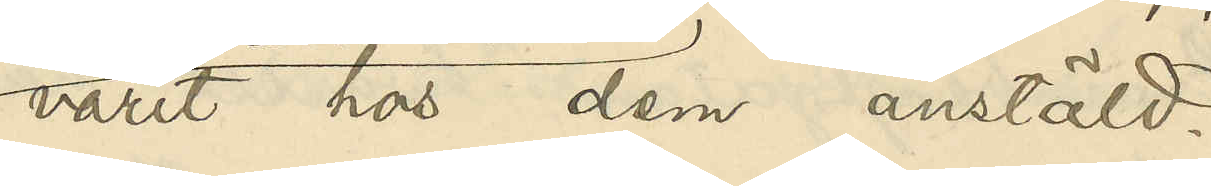varit hos dem anstäld.
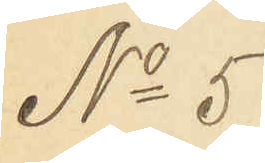No 5
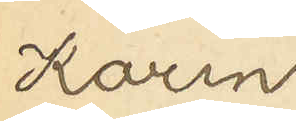Karin
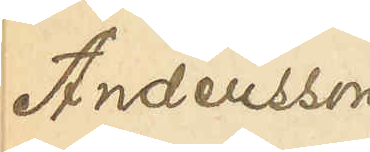Andersson
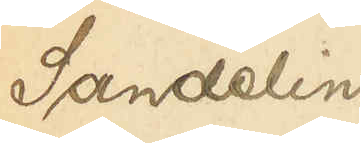Sandelin
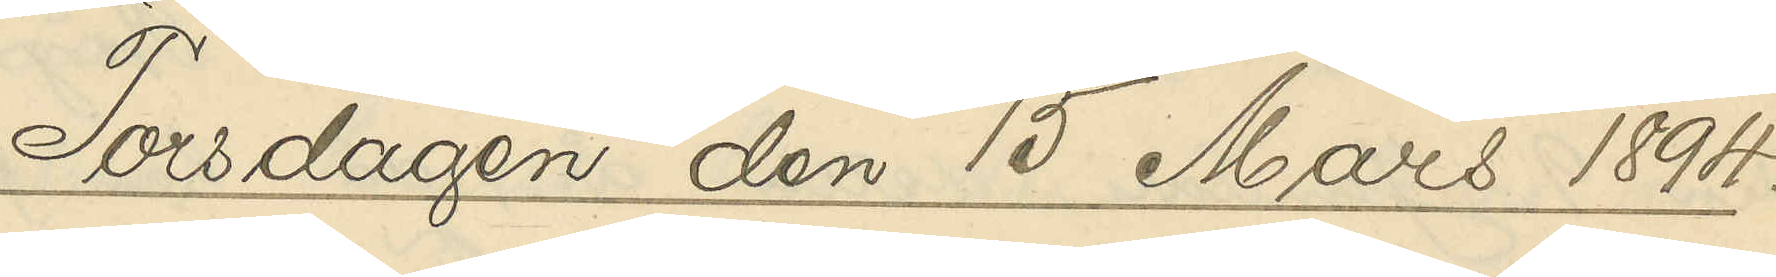Torsdagen den 15 Mars 1894.
